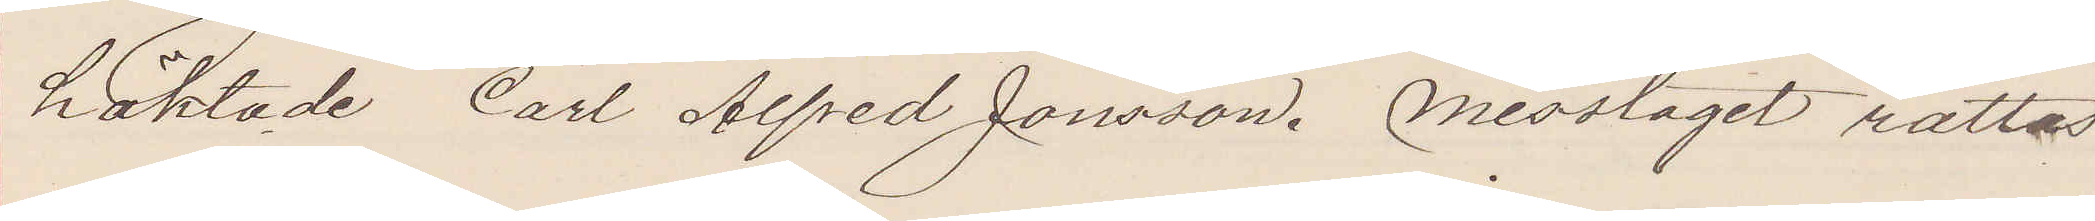häktade Carl Alfred Jonsson. Misstaget rättas
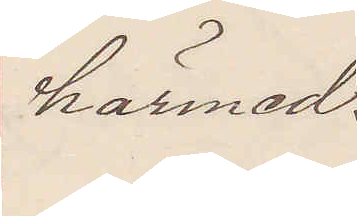härmed.
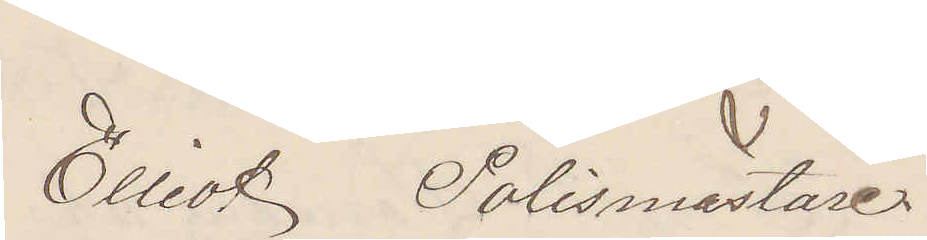Elliot Polismästare.
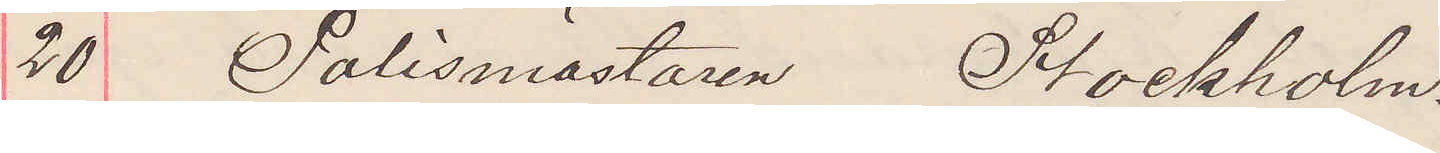20 Polismästaren Stockholm.
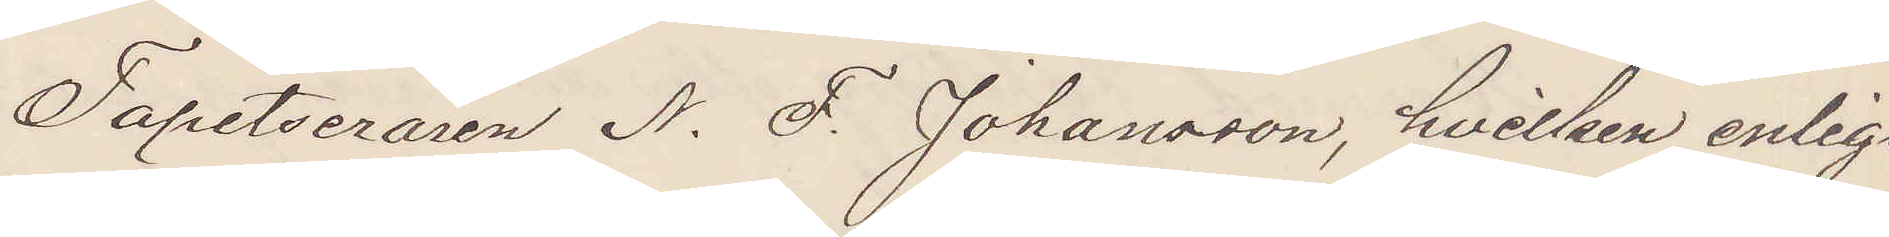Tapetseraren N. F. Johansson, hvilken enligt
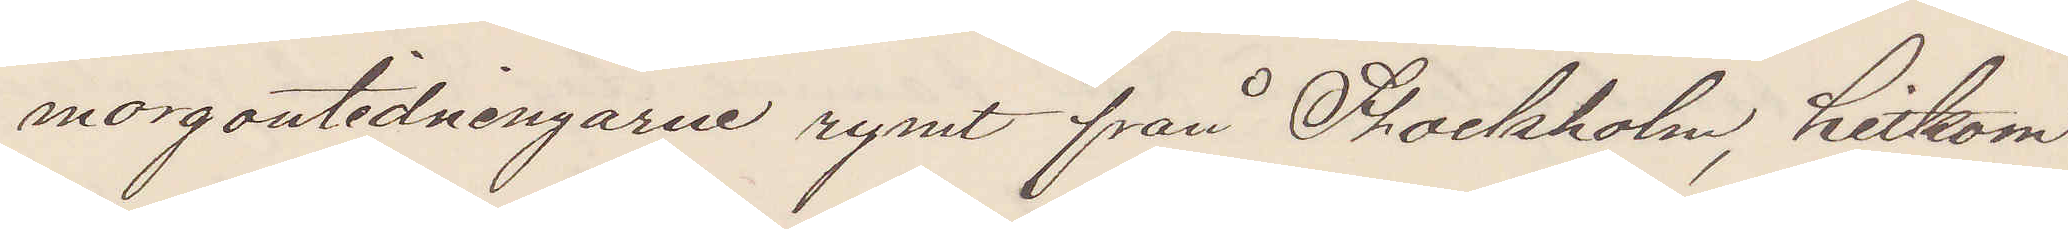morgontidningarne rymt från Stockholm, hitkom
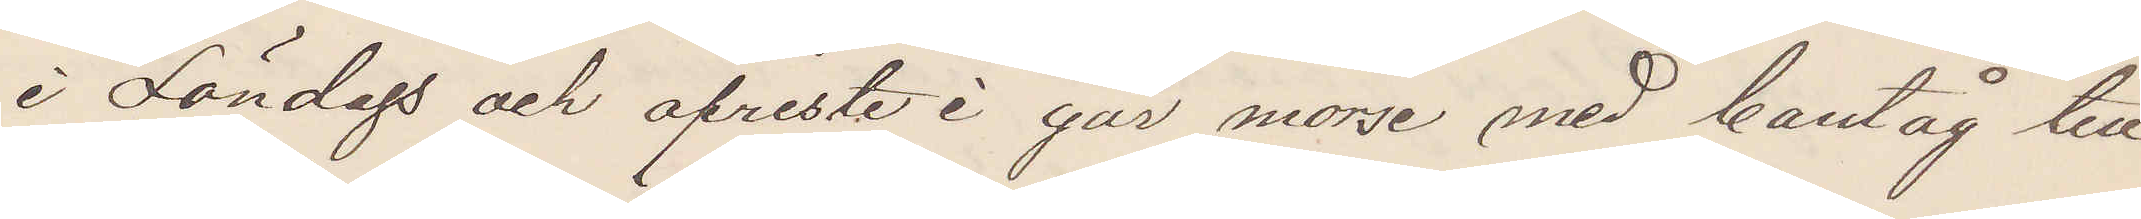i Söndags och afreste i går morse med bantåg till
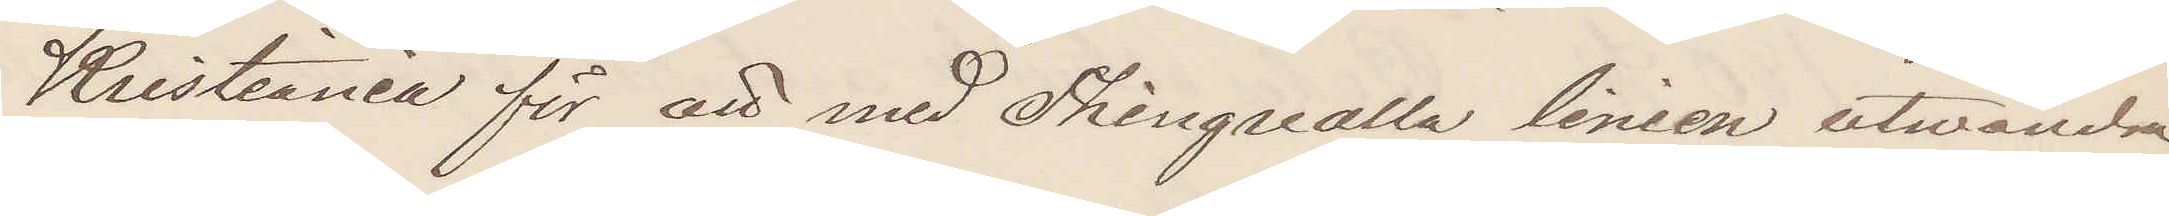Kristiania för att med Thingvalla linien utwandra
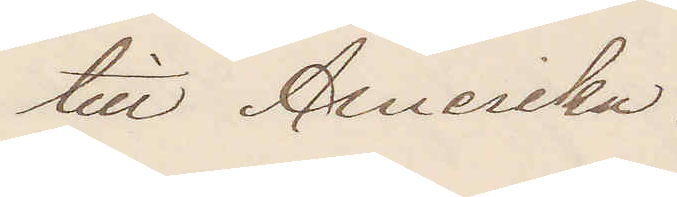till Amerika.
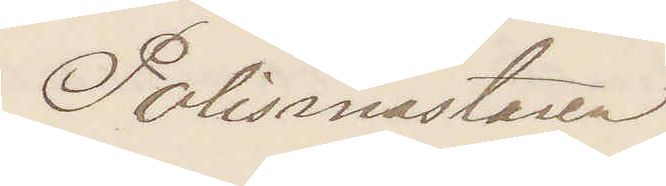Polismästaren.
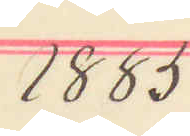1885 
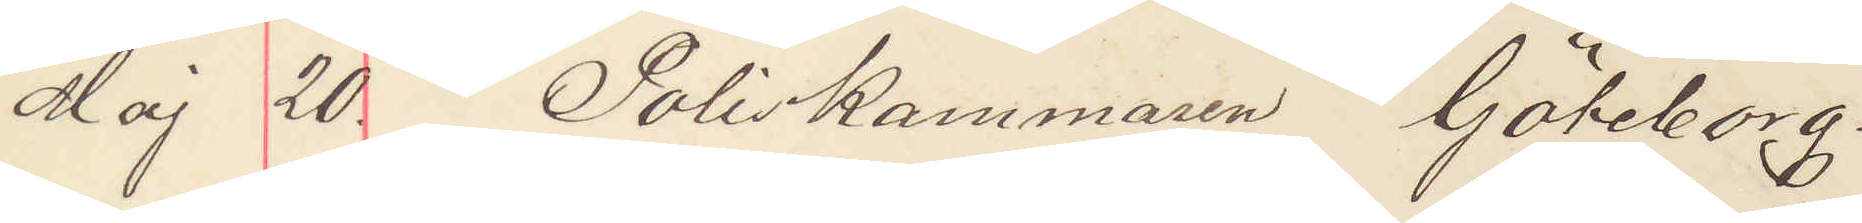Maj 20. Poliskammaren Göteborg.
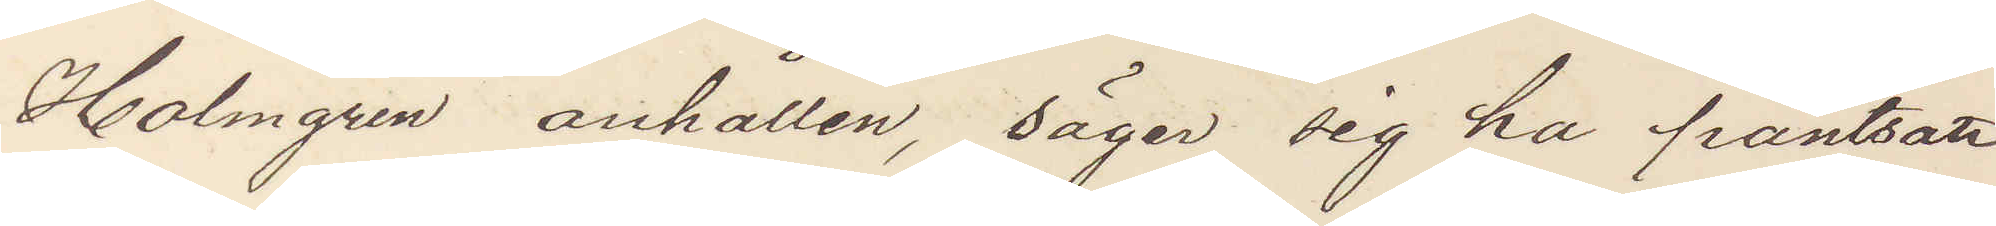Holmgren anhållen, säger sig ha pantsatt
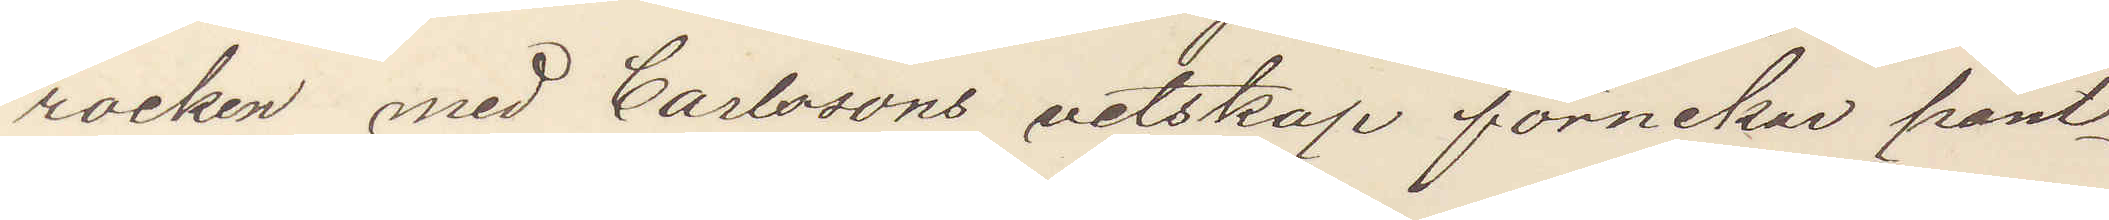rocken med Carlssons vetskap förnekar pant¬
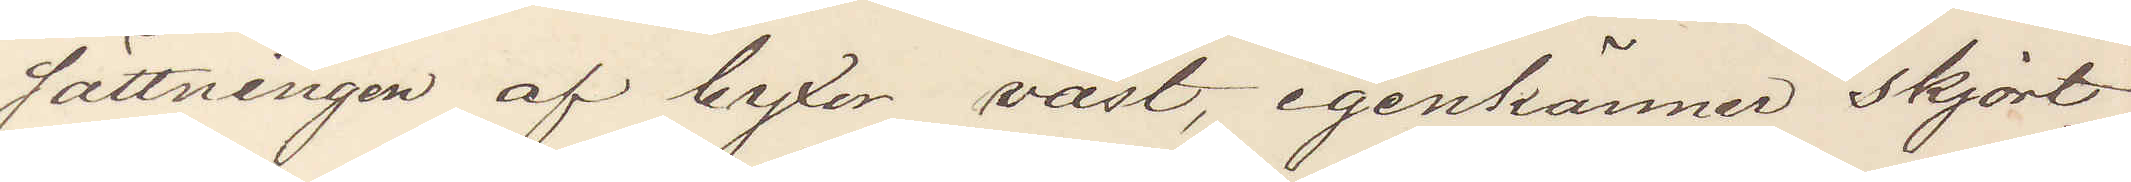sättningen af byxor väst, igenkänner skjort¬
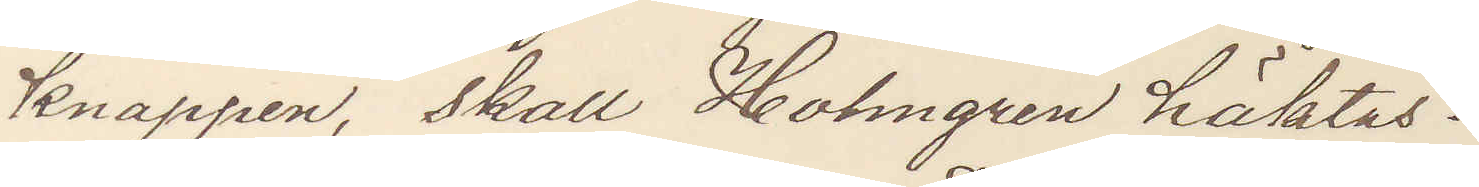knappen, skall Holmgren häktas?
